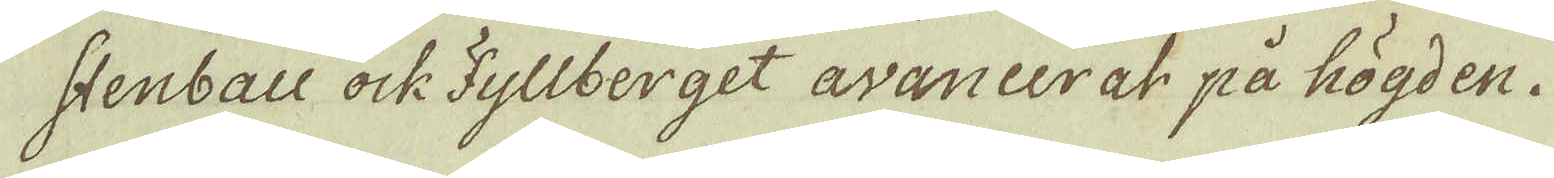stenbau ock Fyllberget avancerat på högden.
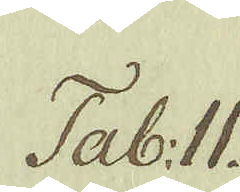Tab: II.
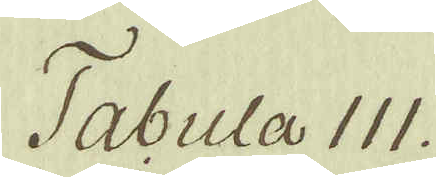Tabula III.
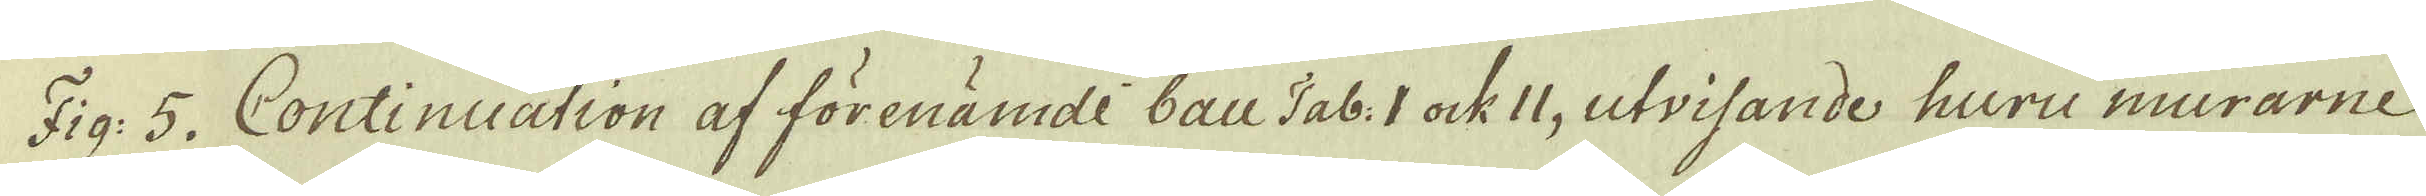Fig: 5. Continuation af förenämde bau Tab: I ock II, utvisande huru murarne
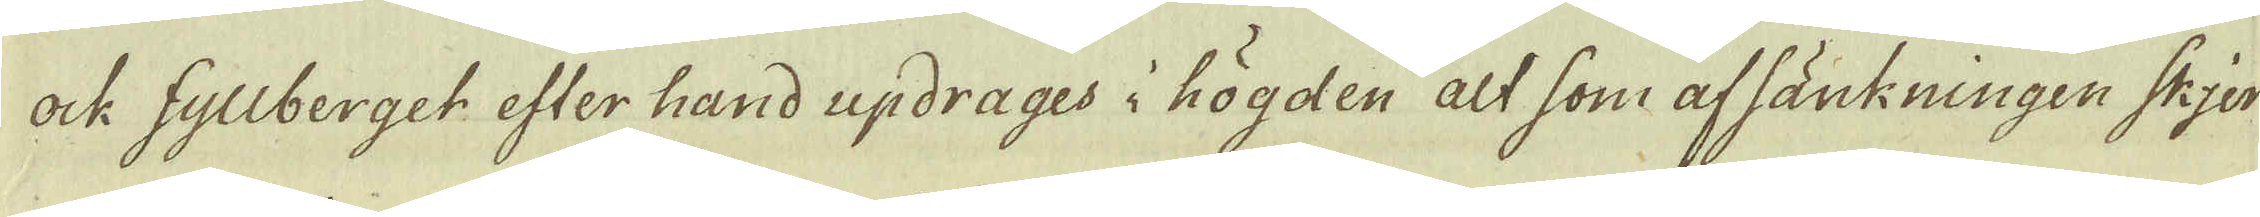ock Fyllberget efter hand updrages i högden alt som afsänkningen skjer
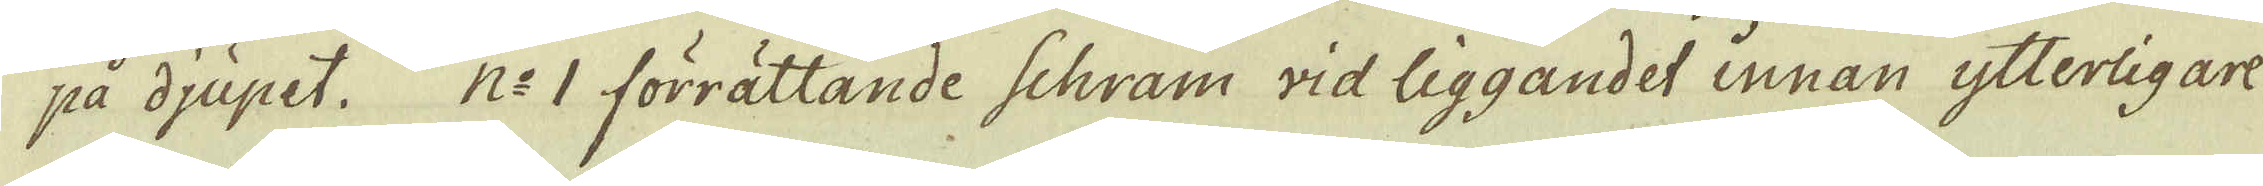på djupet. N:o 1 förrättande Schram wid liggandet innan ytterligar
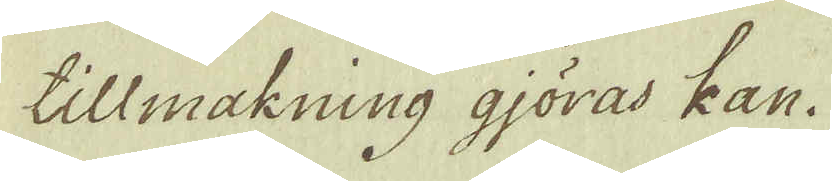tillmakning gjöras kan.
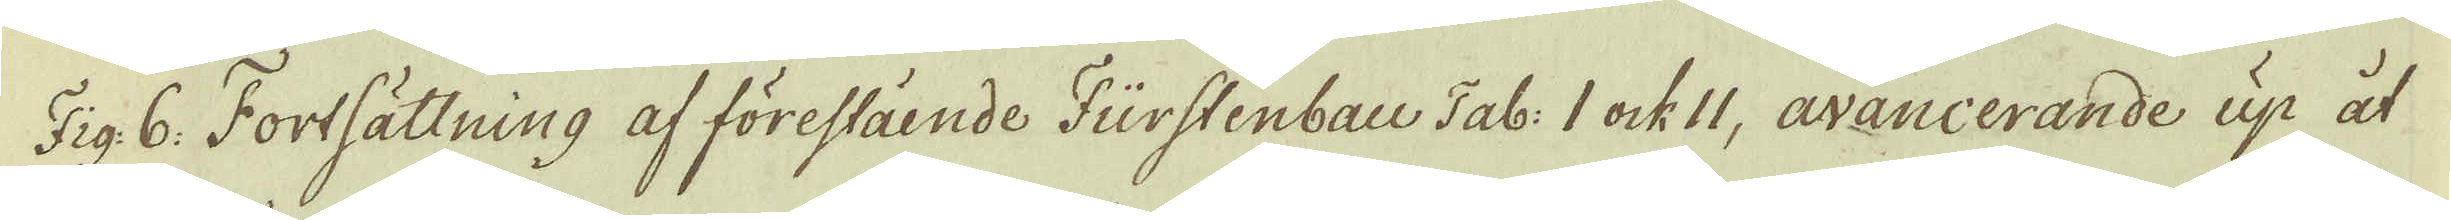Fig: 6: Fortsättning af förestående Fürstenbau Tab: I ock II, avancerande up åt
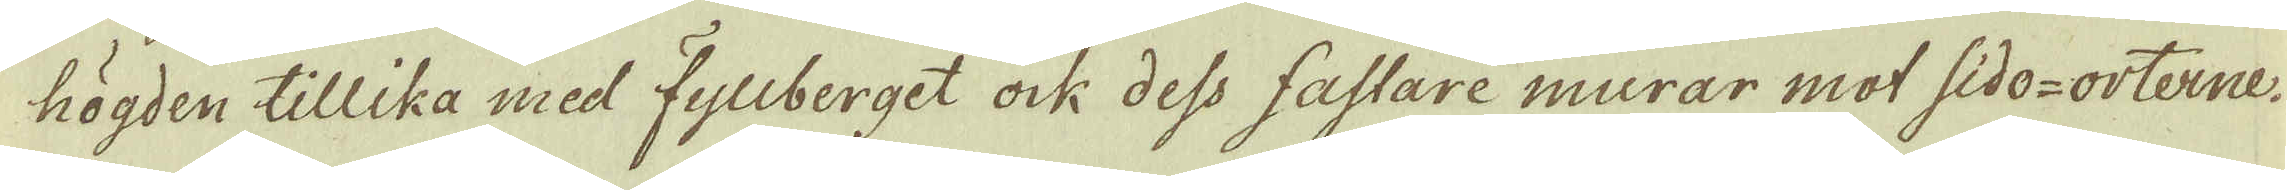högden tillika med Fyllberget ock dess fastare murar mot sido-orterne.
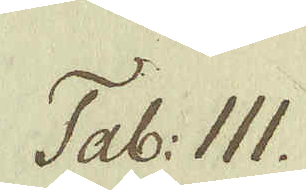Tab: III.
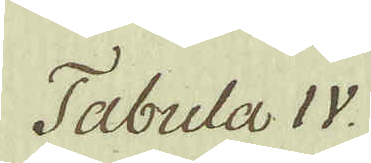Tabula IV.
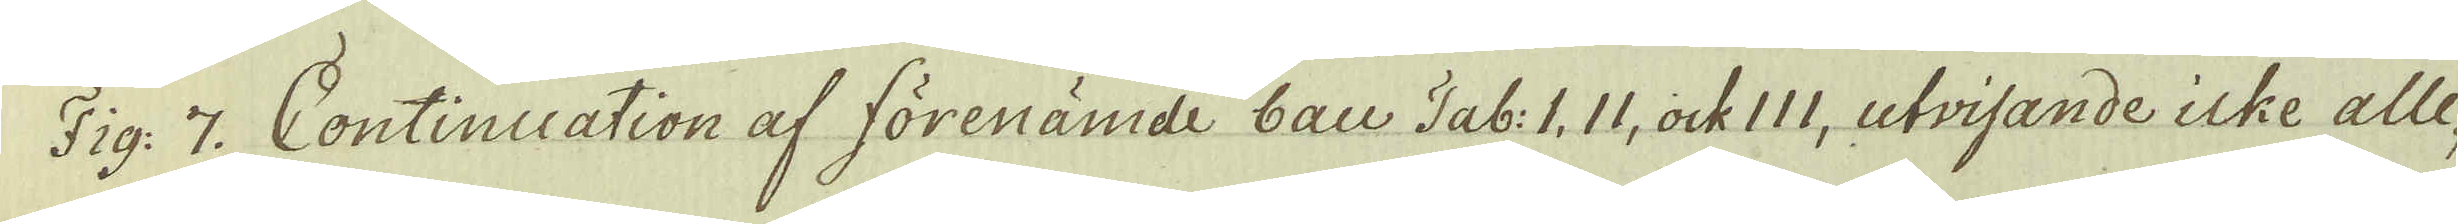Fig: 7. Continuation af förenämde bau Tab: I. II, ock 111, utvisande icke alle-
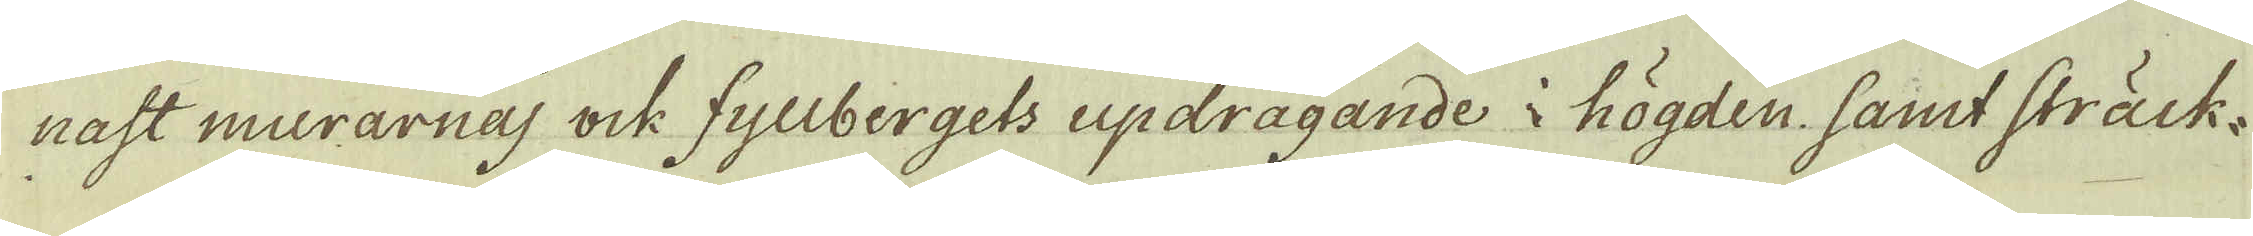nast murarnas ock fyllbergets updragande i högden samt sträck-
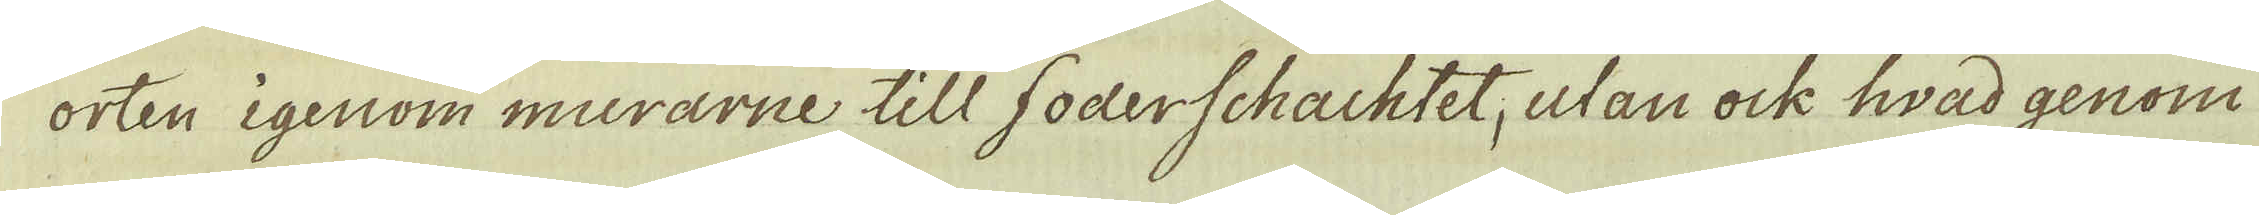orten igenom murarne till foderschachtet, utan ock hvad genom
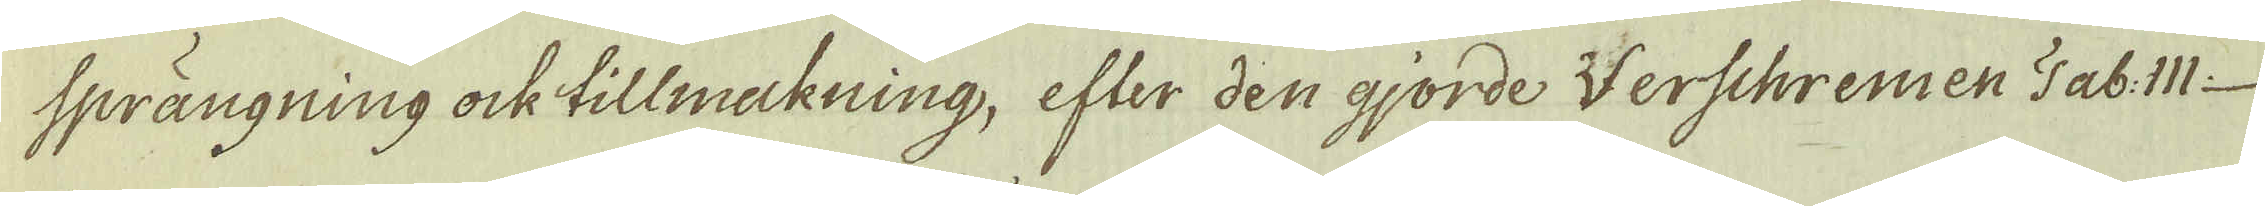sprängning ock tillmackning, efter den gjorde Werschremen Tab: III
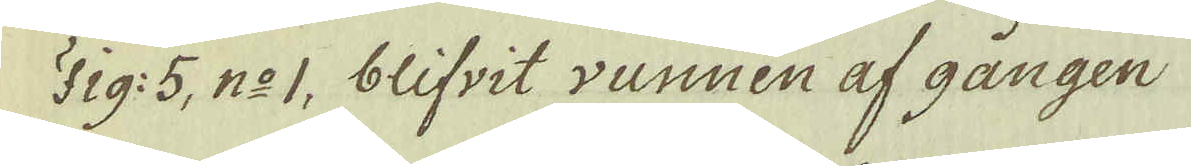Fig: 5, n:o 1, blifvit vunnen af gången
